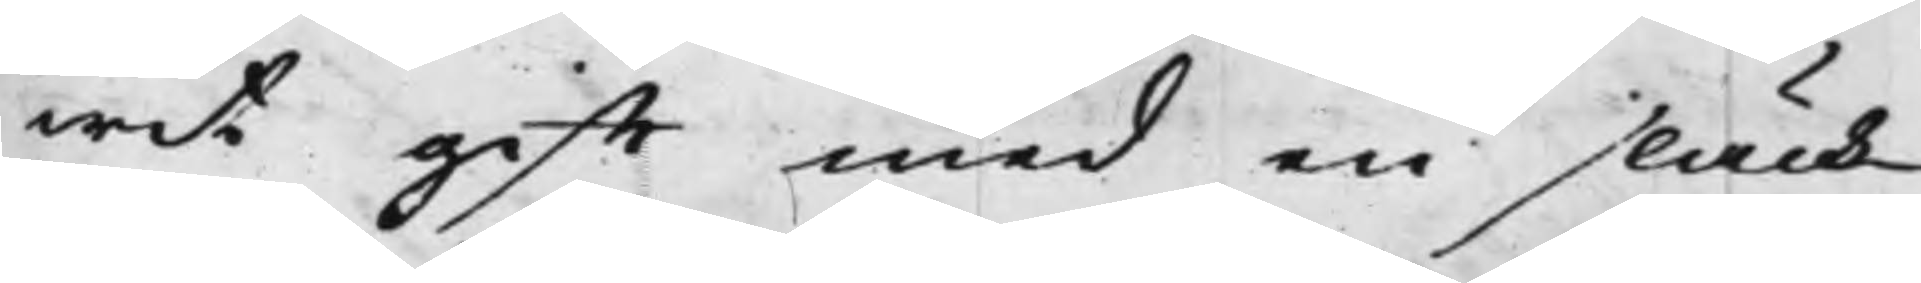wit gifft med en släck¬
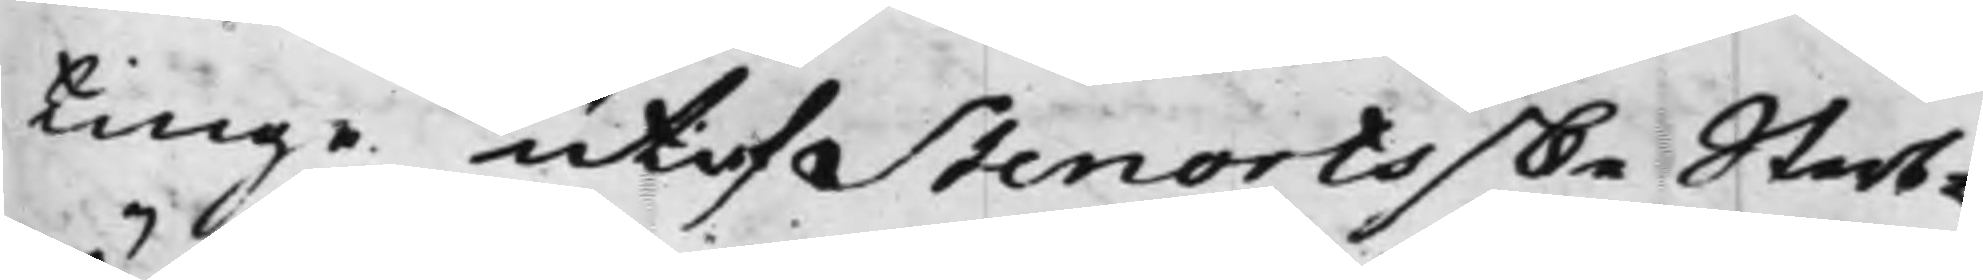tinge utaf Stenortsske Sterb¬
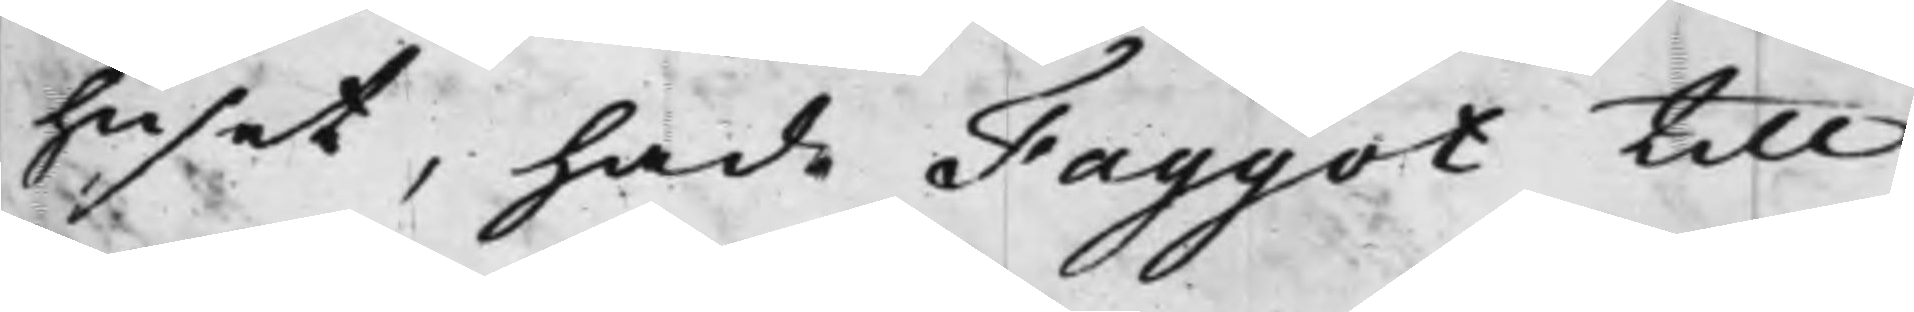huset, hade Faggot till
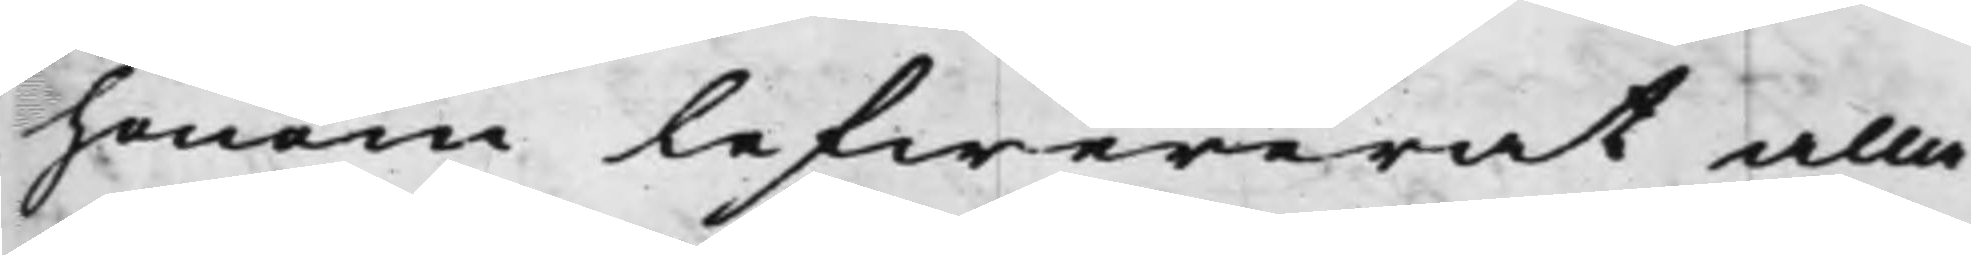honom lefwererat alla
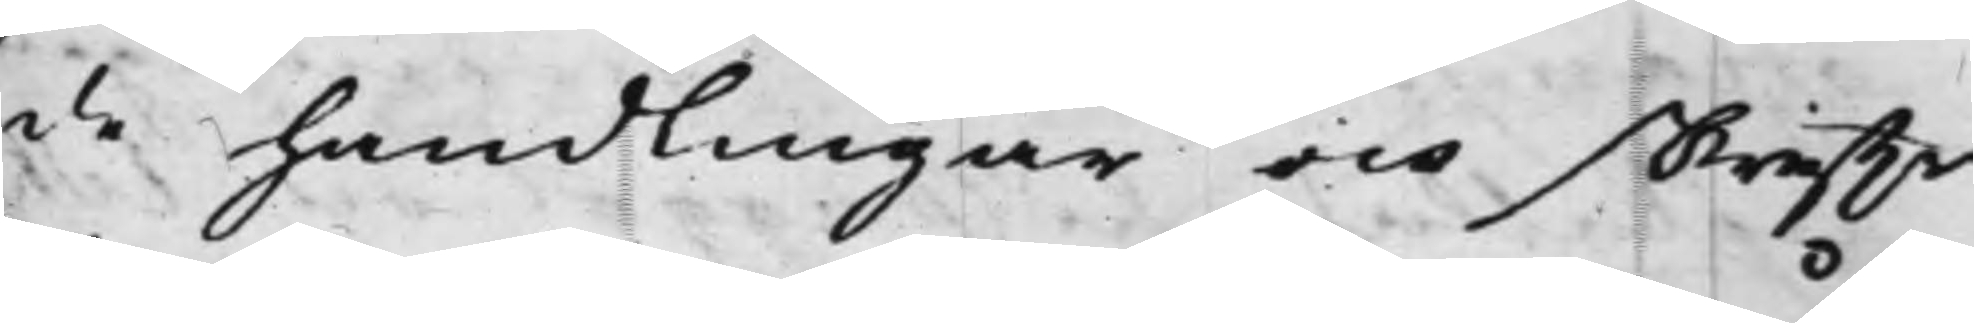de handlingar och skriffter
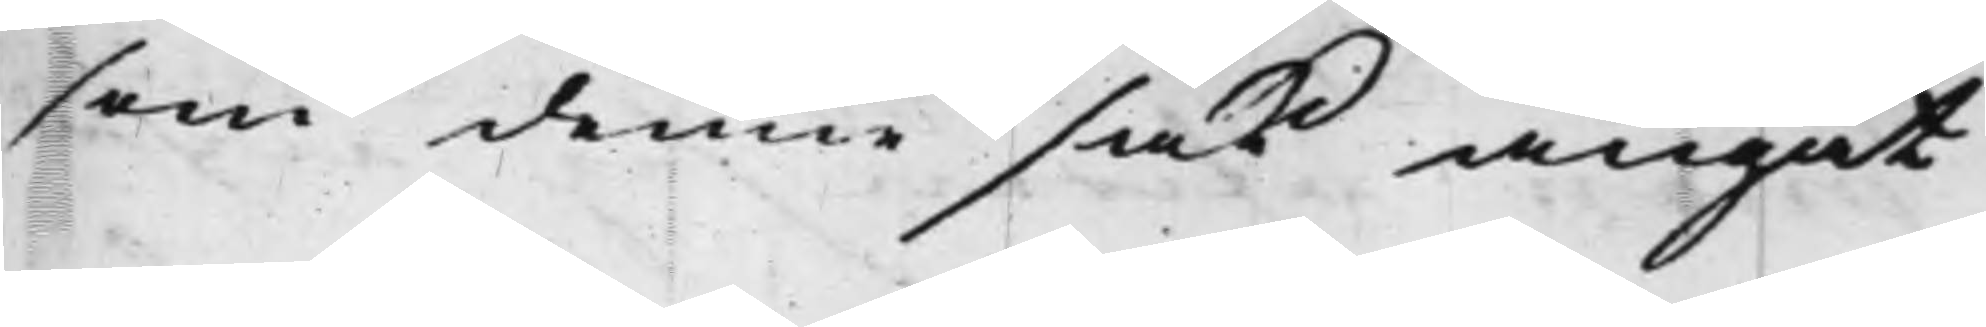som denne sak angåt
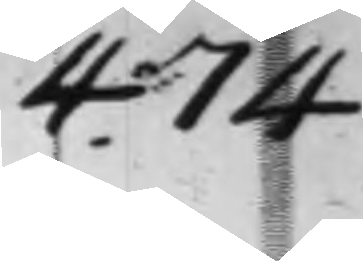474
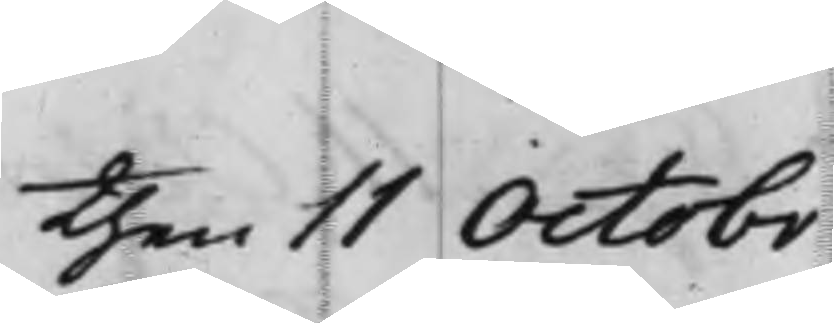then 11 Octobr
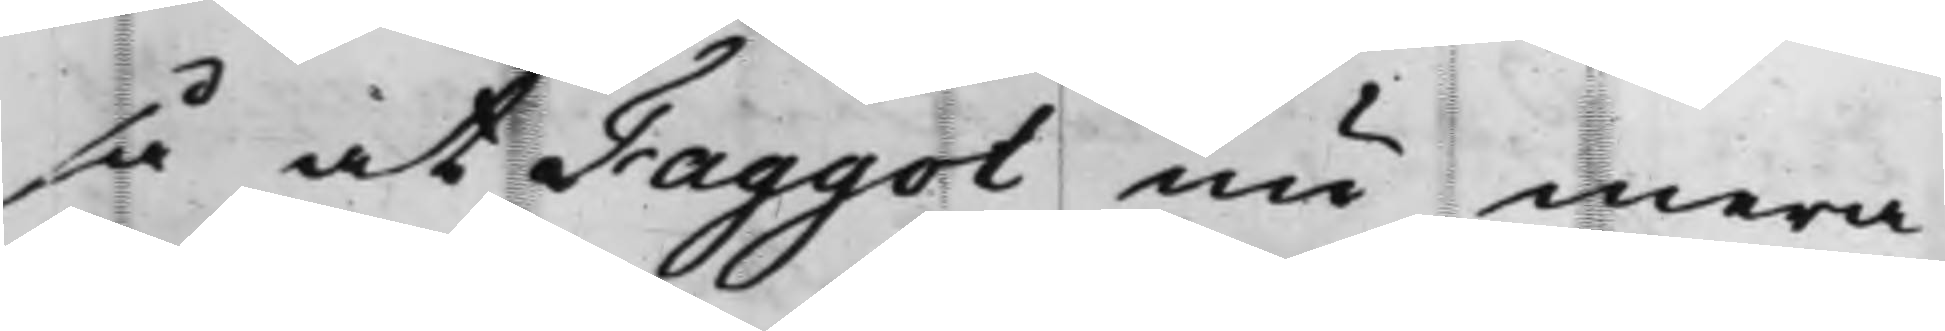så at Faggot nu mera
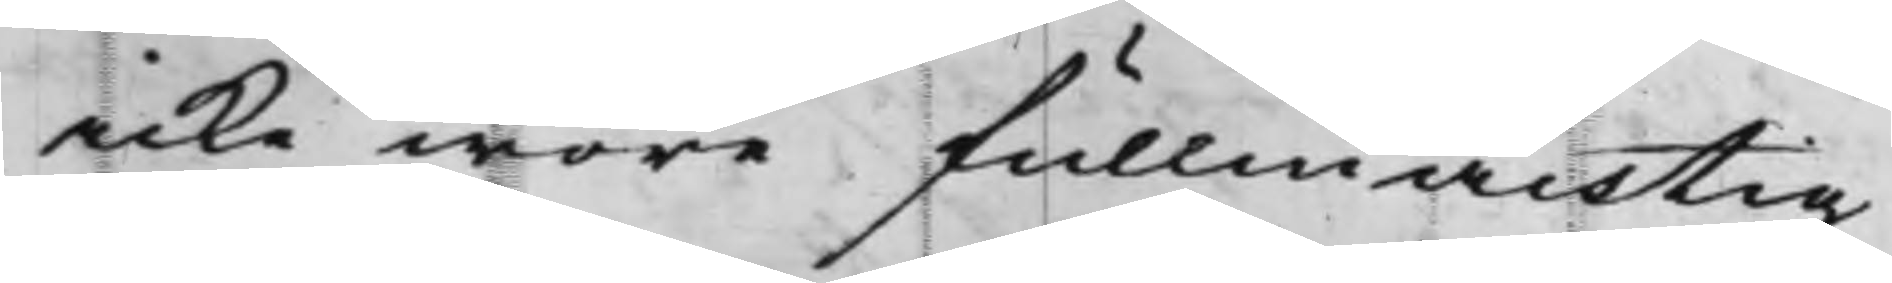icke wore fullmäcktig
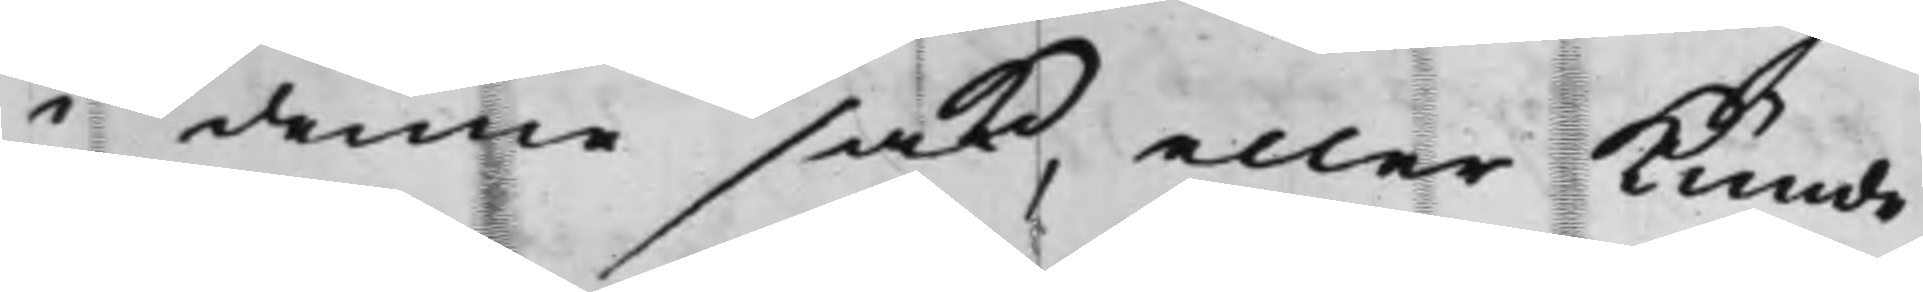i denne sak, eller kunde
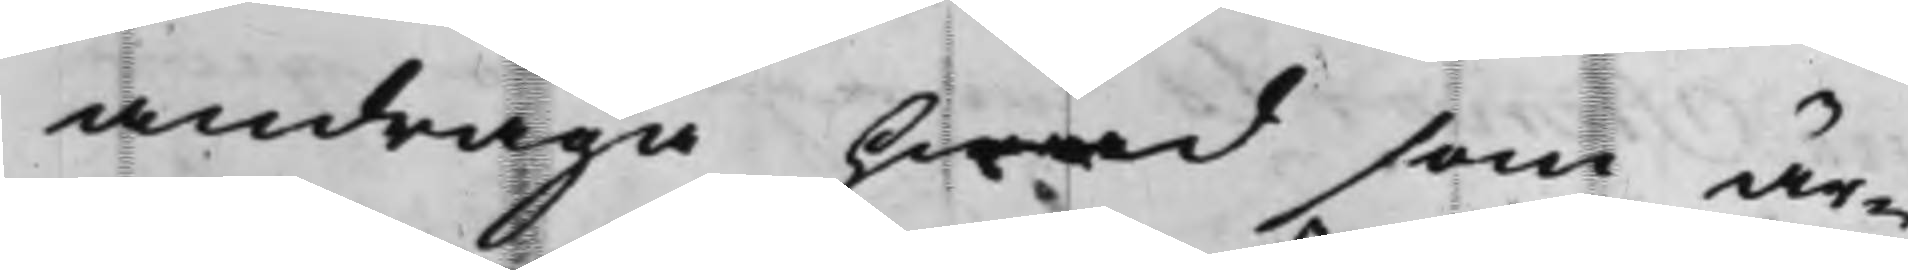andraga hwad som är¬
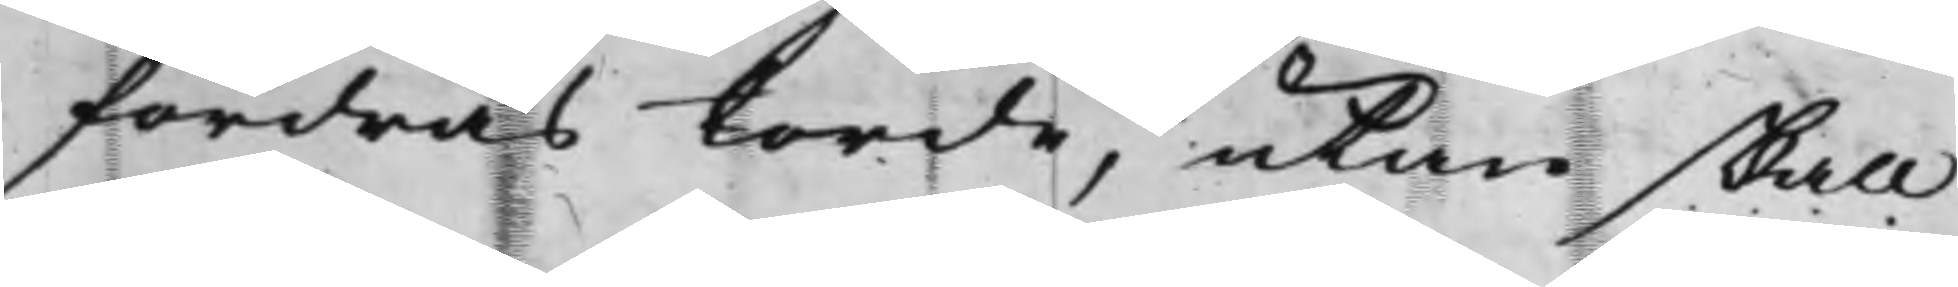fordras torde, utan skall
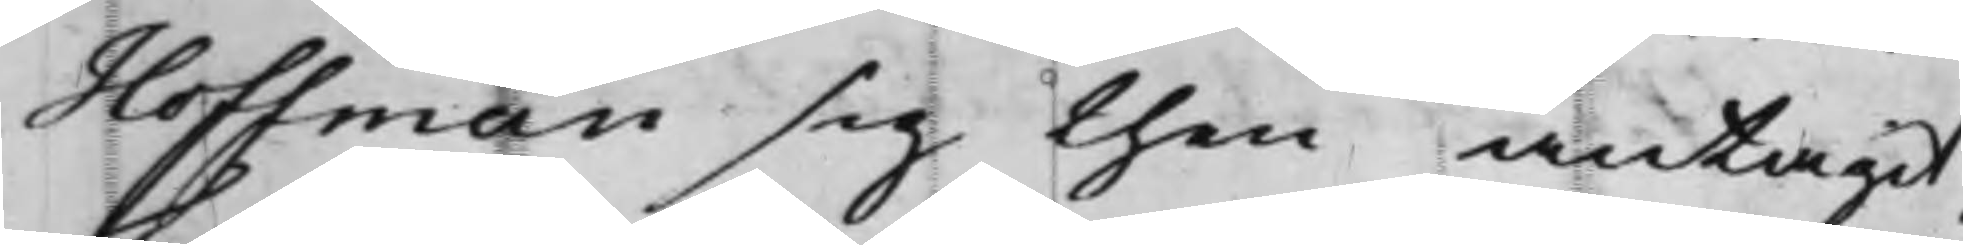Hoffman sig then antagit.
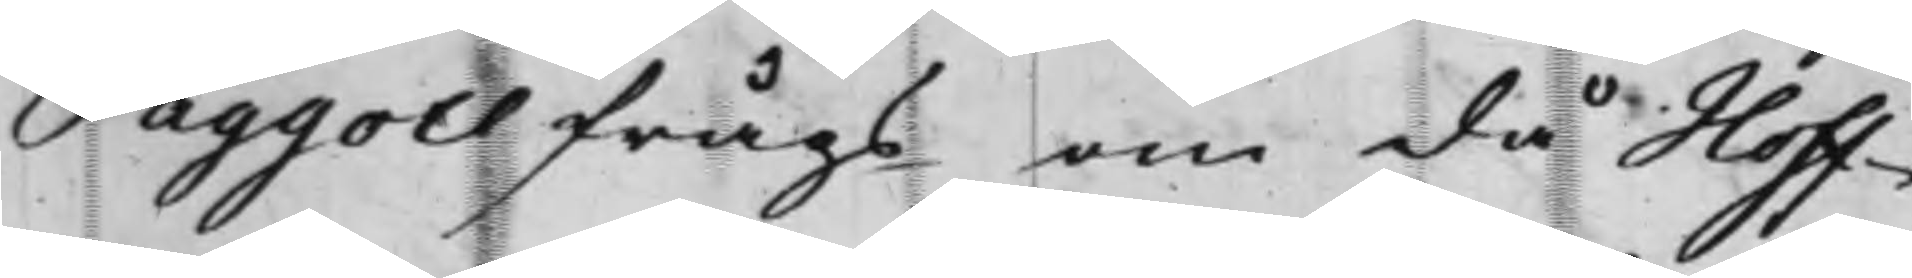Faggott frågs om då Hoff¬
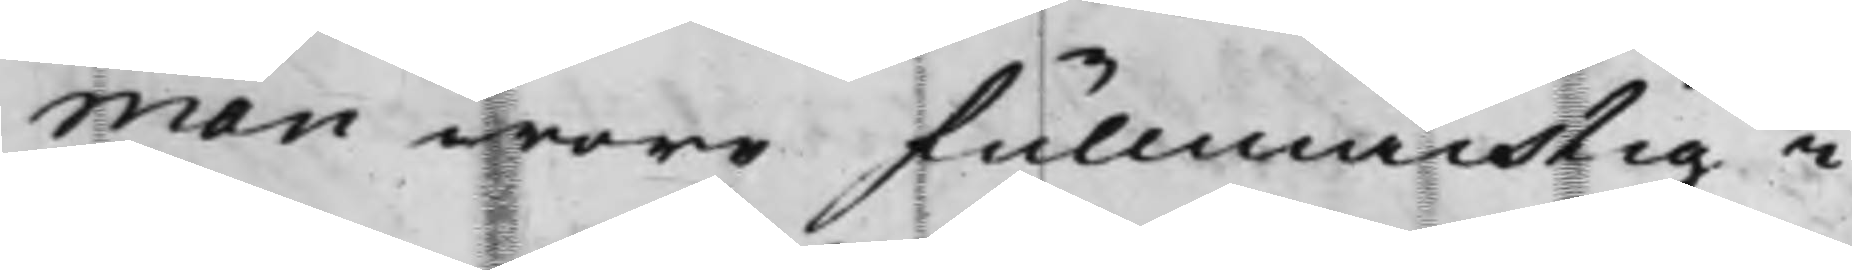man wore fullmächtig i
